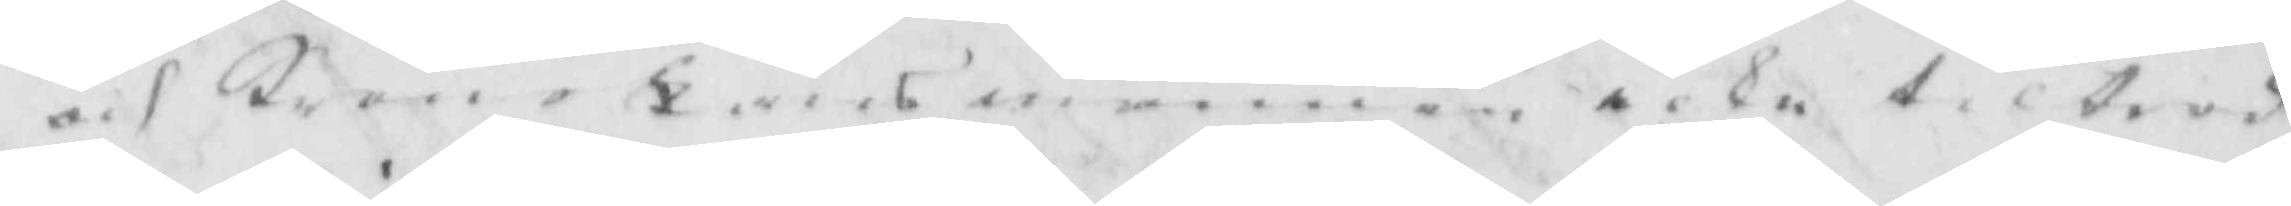och KronoLänsmannen icke tiltrod¬
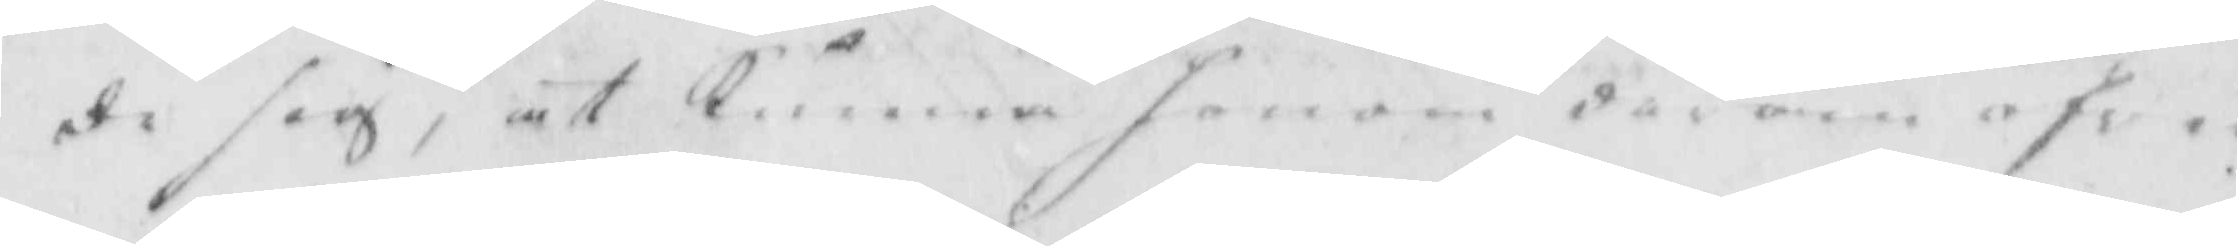de sig, at kunna honom derom öfwer
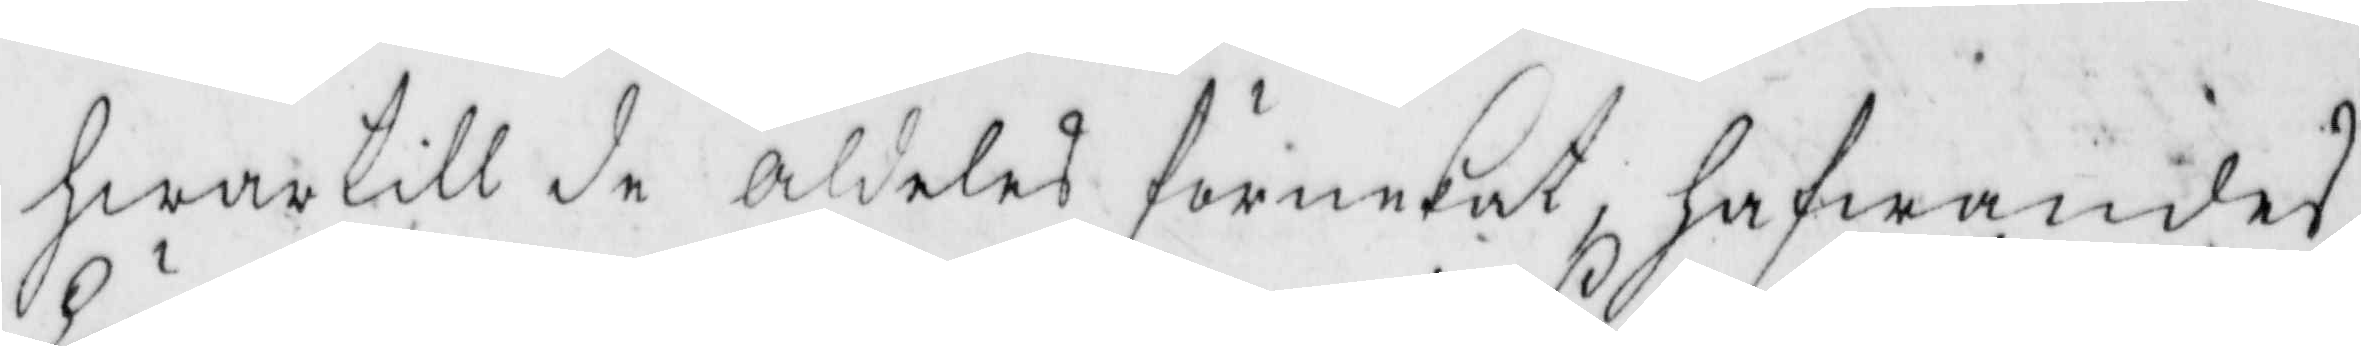hwartill de aldeles förnekat, hafwandes
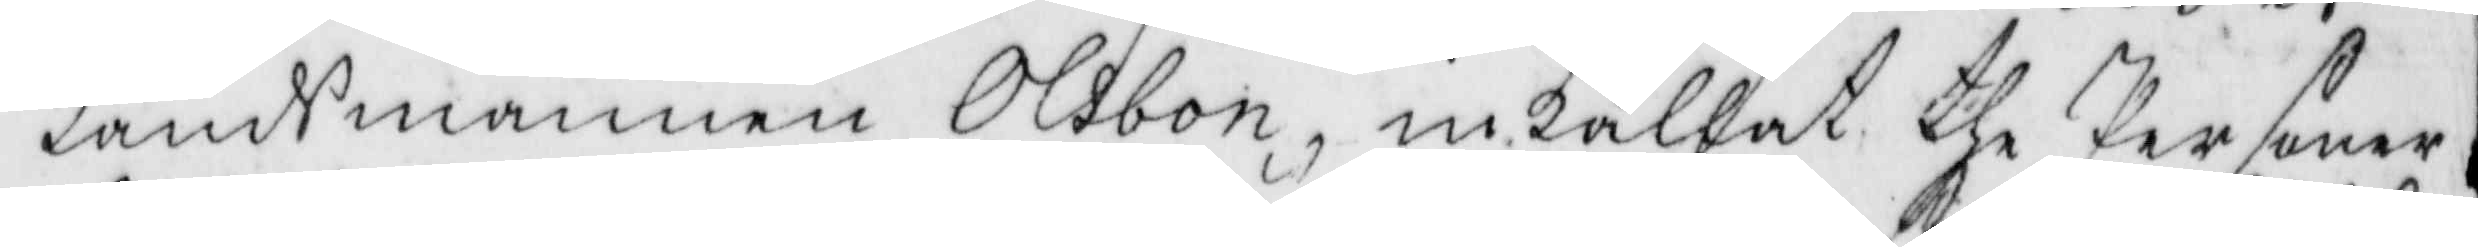Länsmannen Olsbon, inkallat the Personer
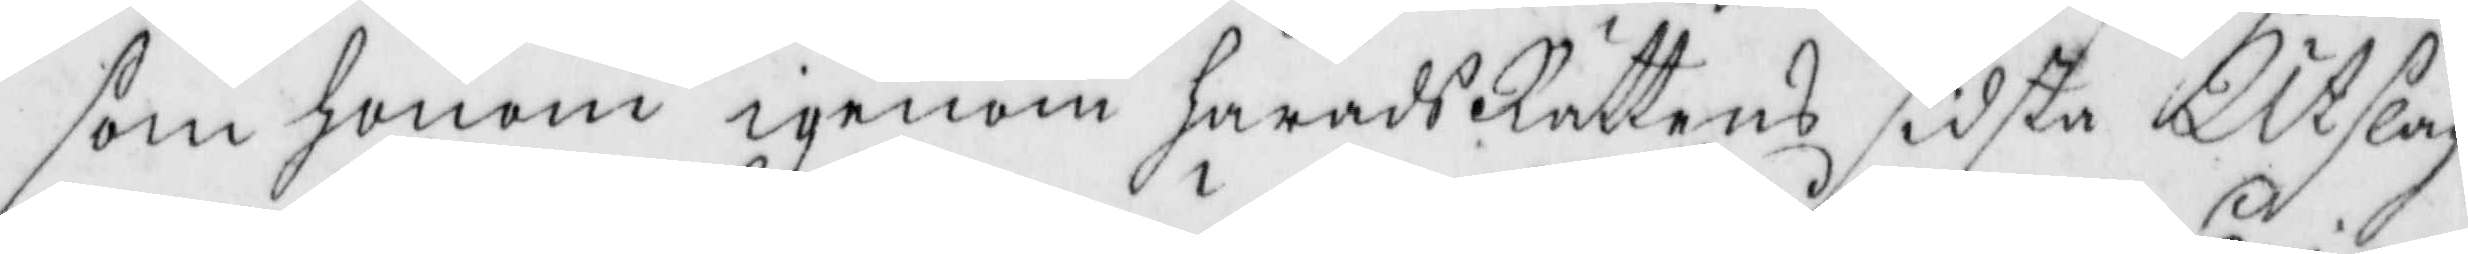som honom igenom häradsRättens sidsta Utslag
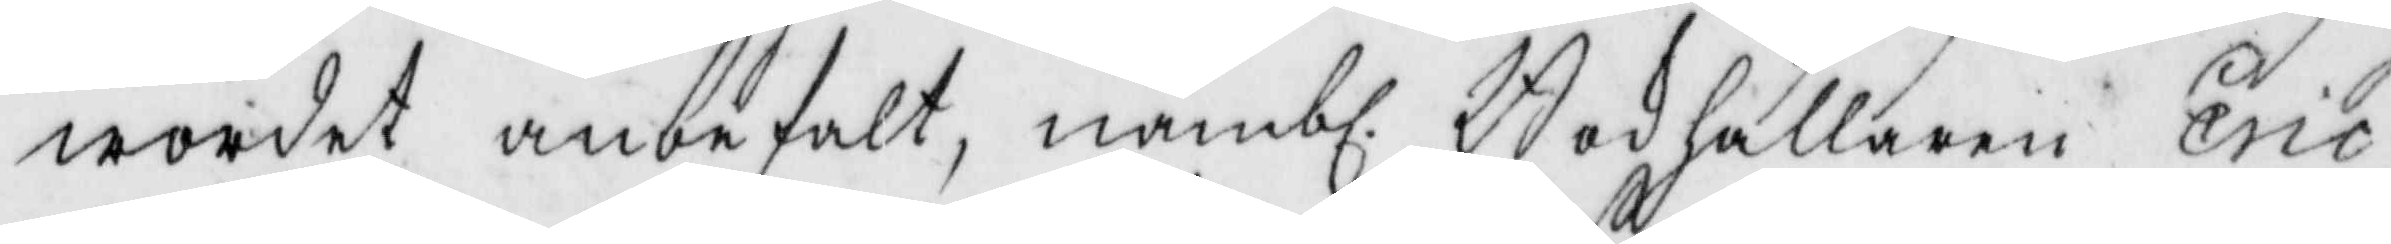wordet anbefalt, nämbl. Bokhållaren Eric
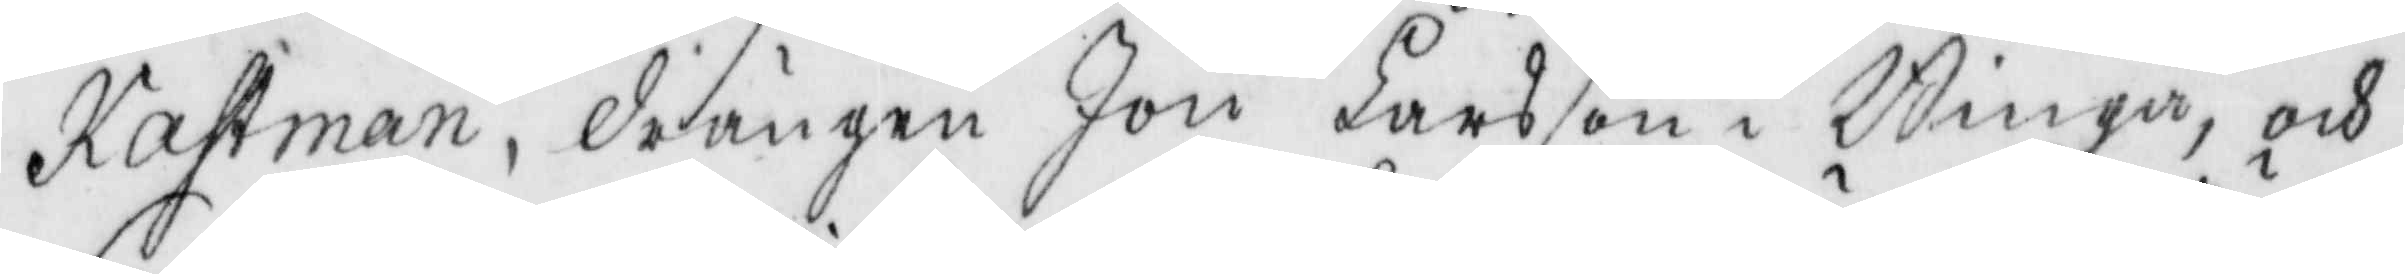Kastman, drängen Jon Larsson i Binga, och
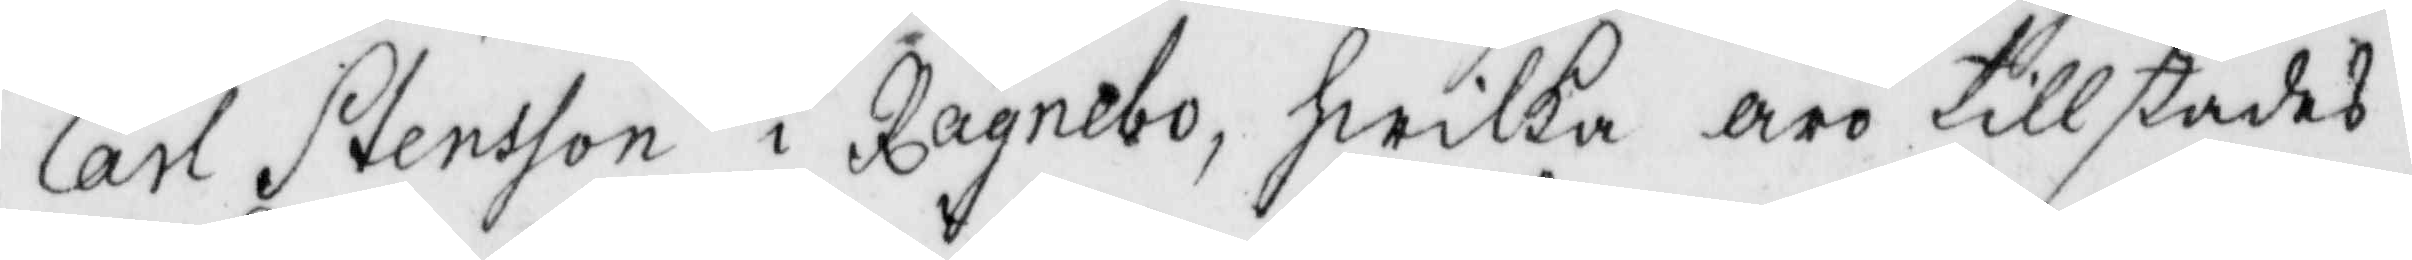Carl Stensson i Ragnebo, hwilka äro tillstädes
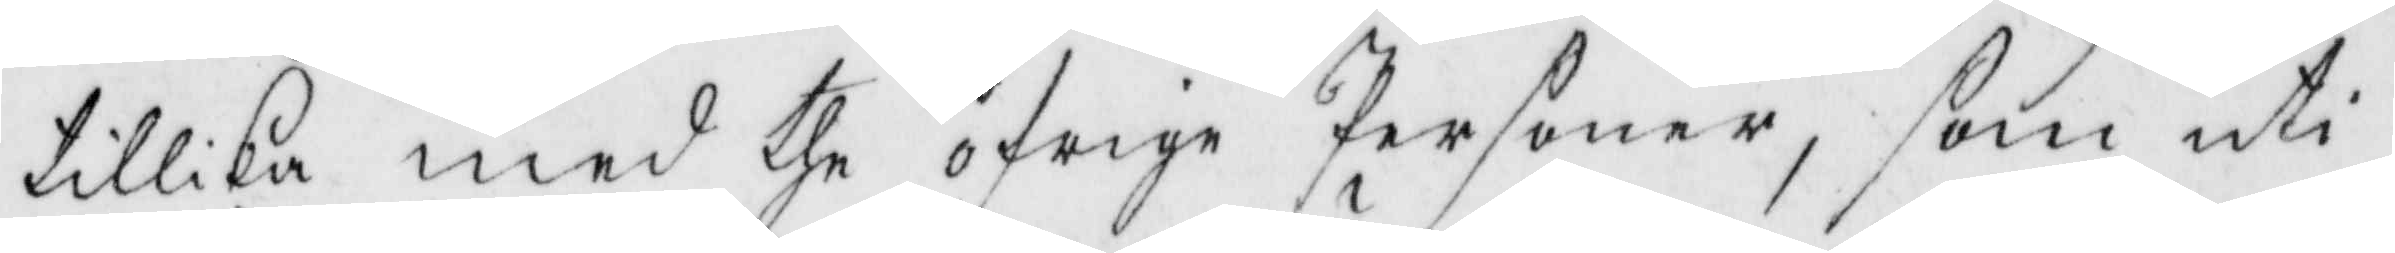tillika med the öfrige Personer, som uti
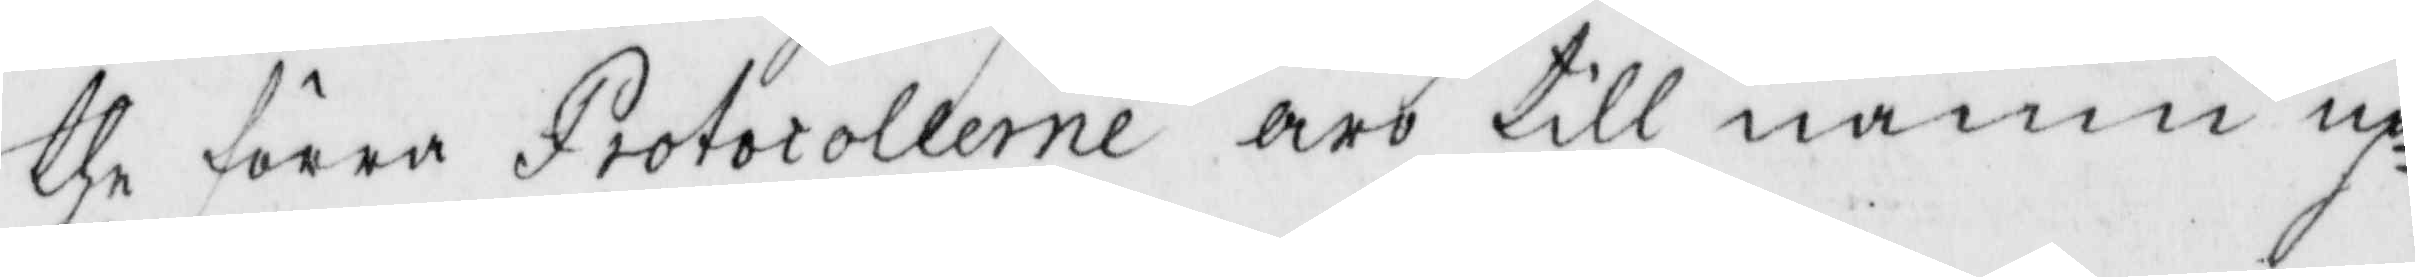the förra Protocollerne äro till namn up¬
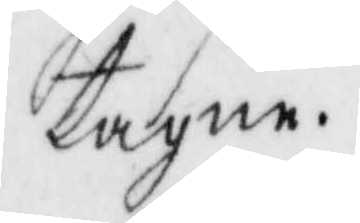tagne.
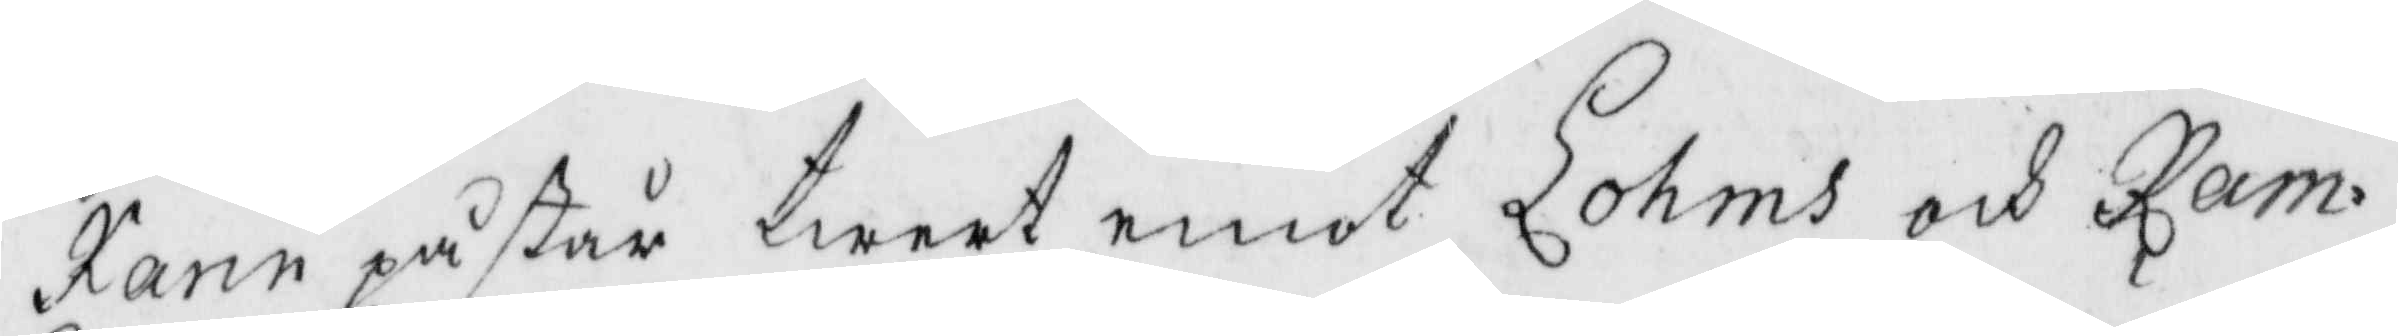karin påstår twert emot Lohms och Ram¬
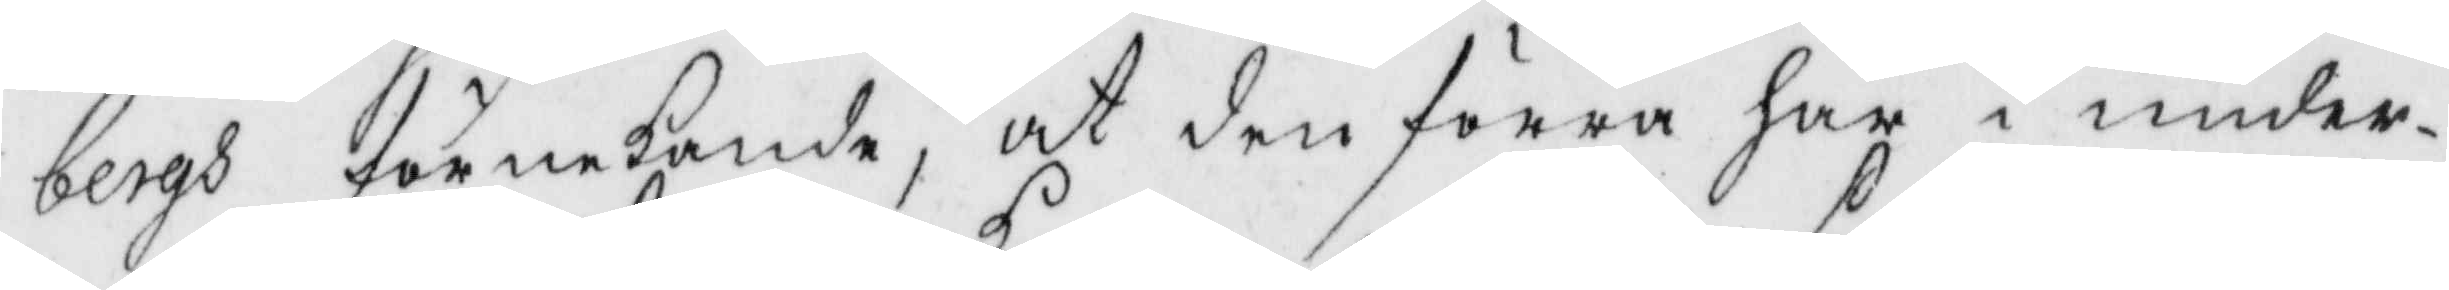bergs förnekande, at den förra har i under¬
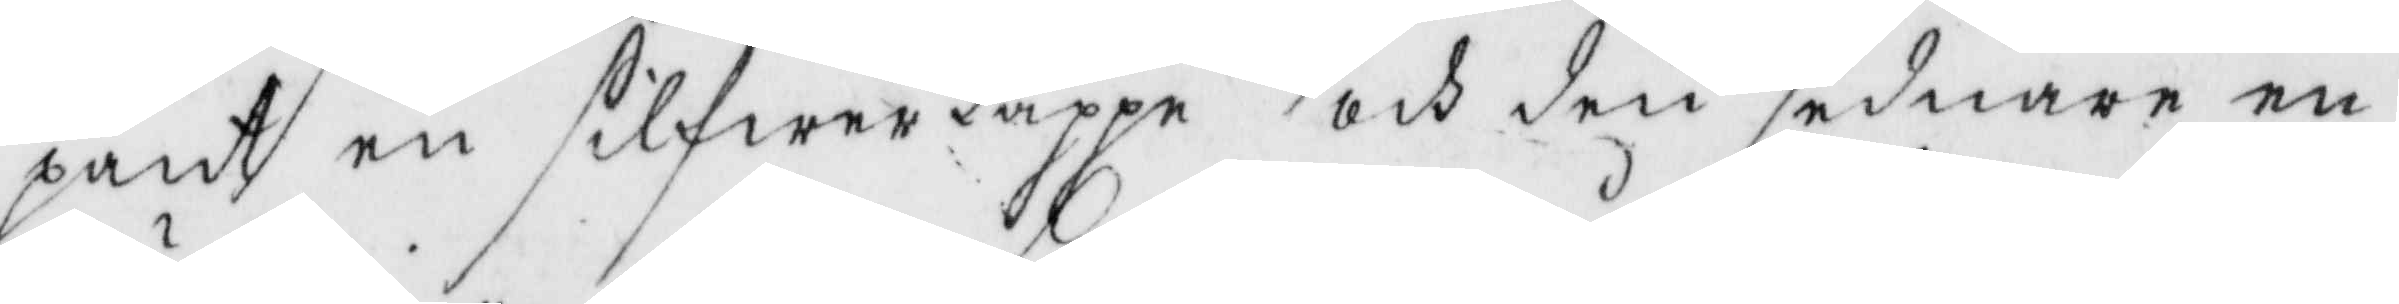pant en silfwerkappe och den sednare en
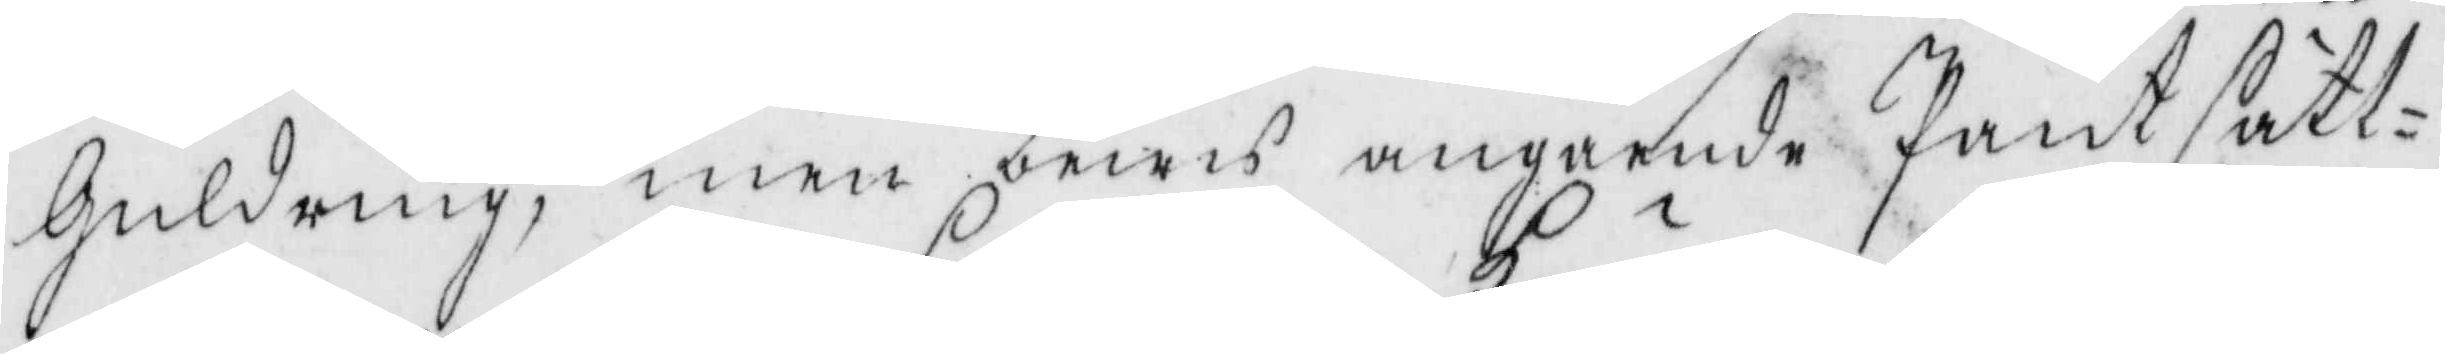Guldring, men bewis angående Pantsätt¬
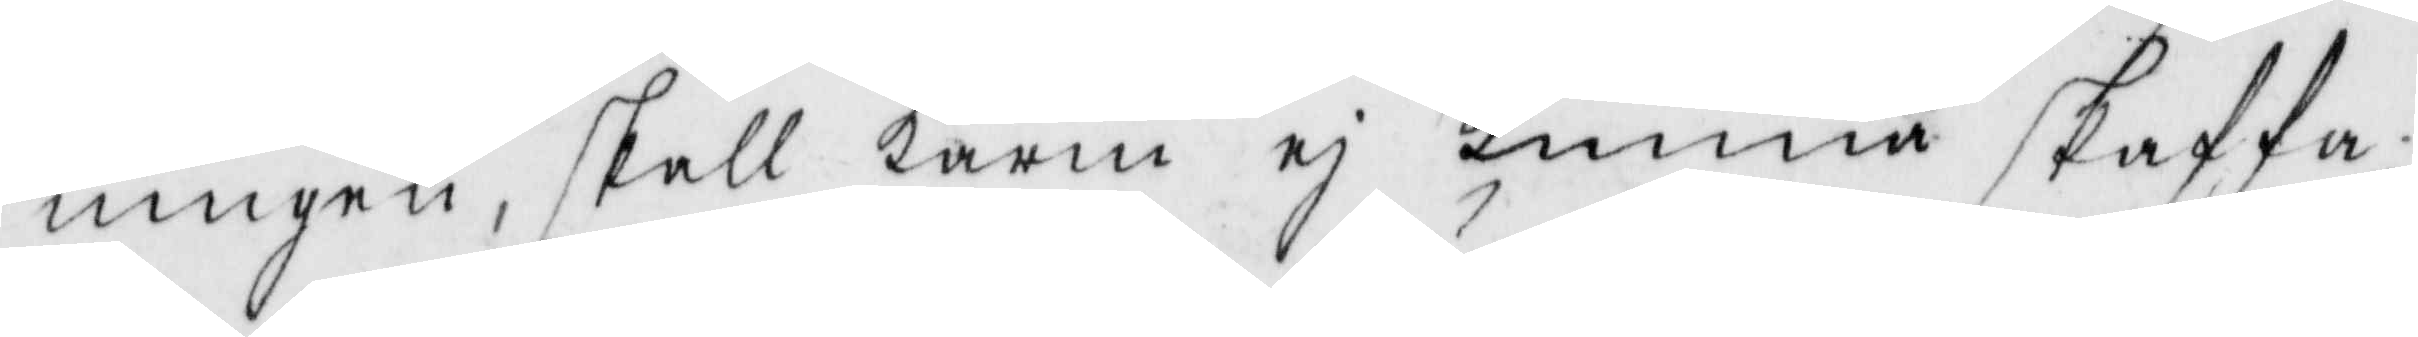ningen, skall Karin ej Kunna skaffa,
